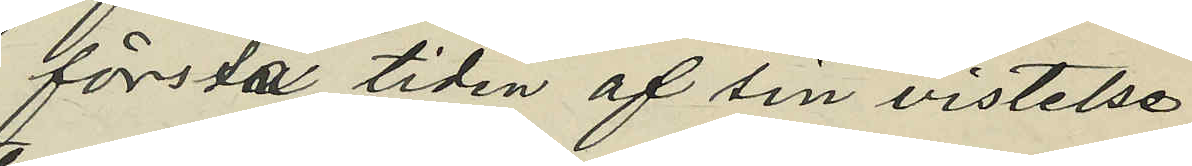första tiden af sin vistelse
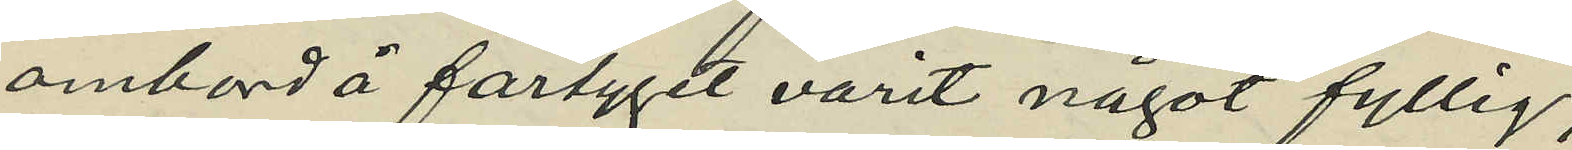ombord å fartyget varit något fyllig;
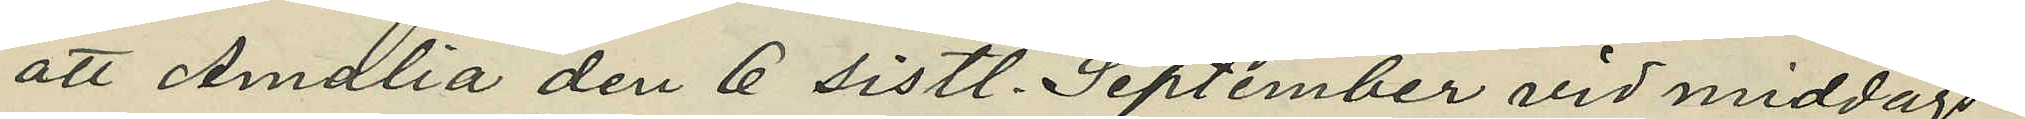att Amalia den 6 sistl. September vid middags¬
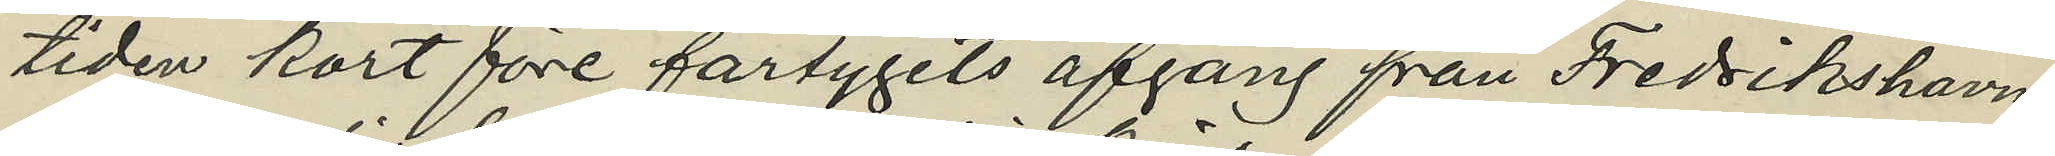tiden kort före fartygets afgång från Fredrikshavn
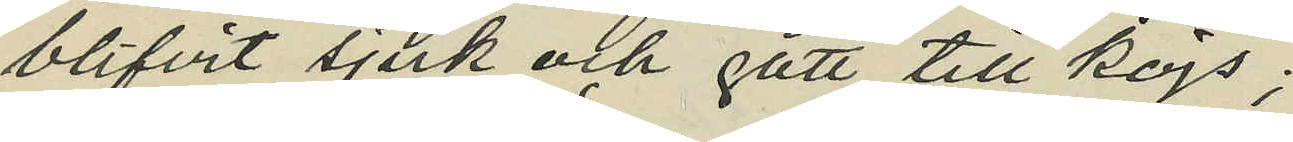blifvit sjuk och gått till kojs;
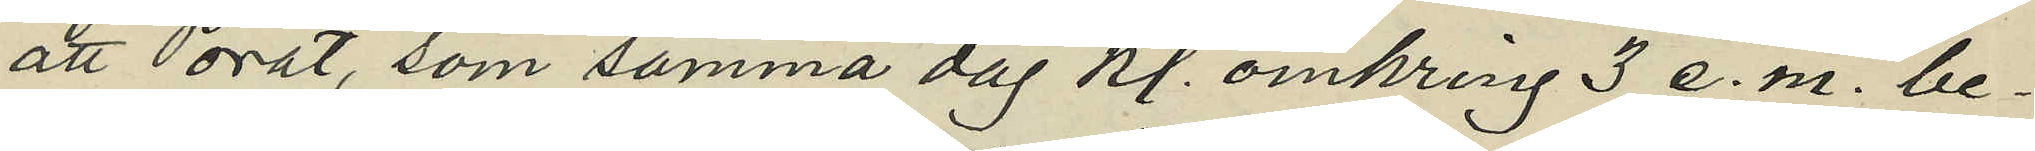att Porat, som samma dag kl. omkring 3 e. m. be¬
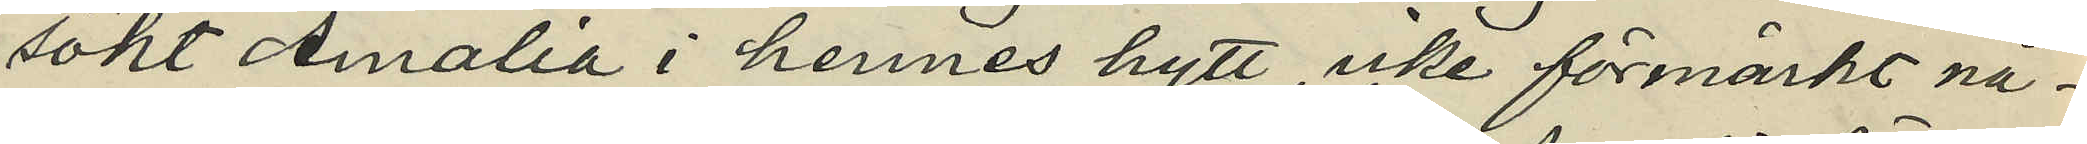sökt Amalia i hennes hytt, icke förmärkt nå¬
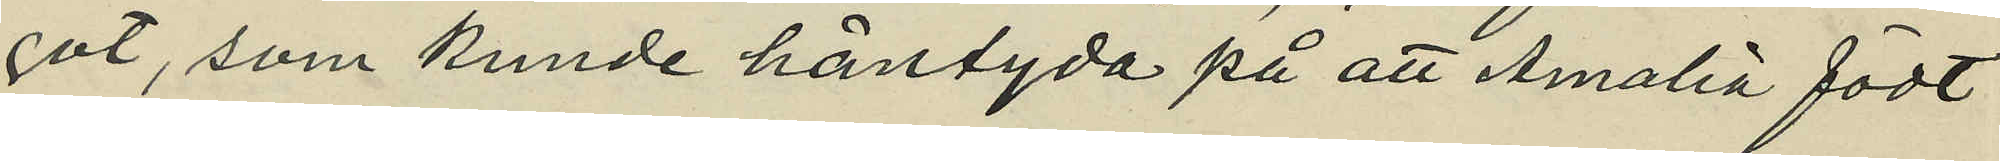got, som kunde häntyda på att Amalia födt
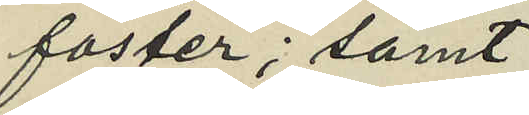foster; samt
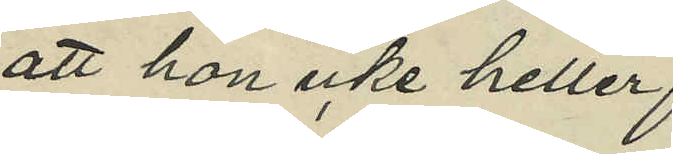att hon icke heller,
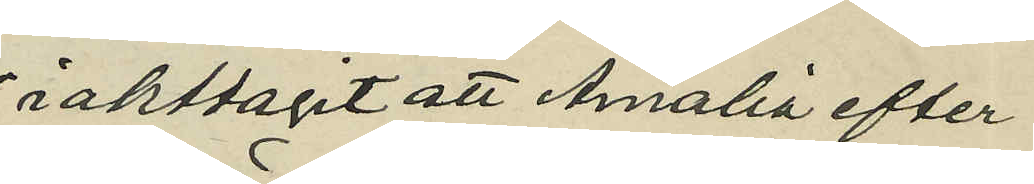iakttagit att Amalia efter
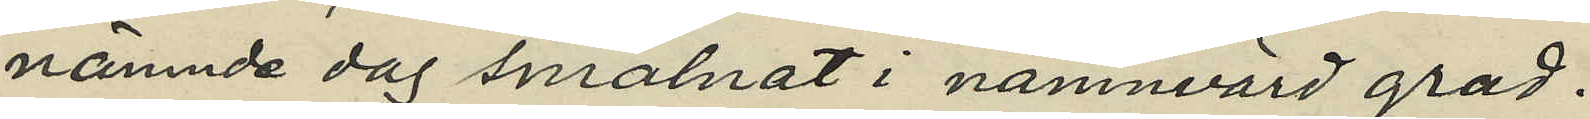nämnde dag smalnat i nämnvärd grad.
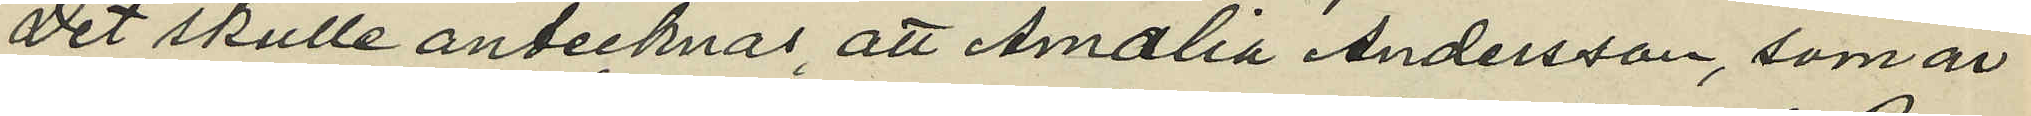Det skulle antecknas, att Amalia Andersson, som är
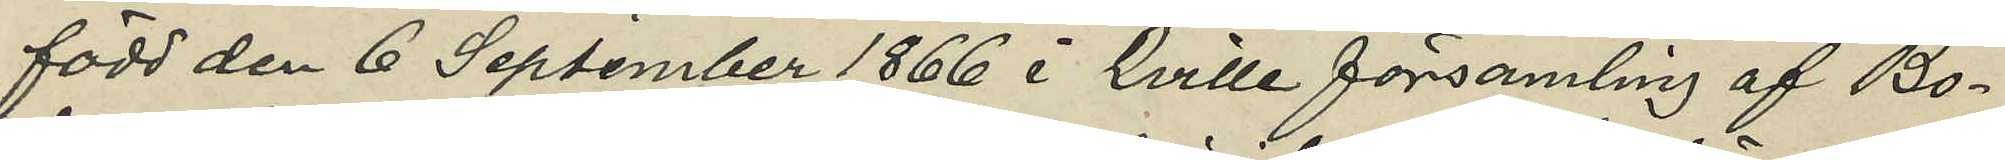född den 6 September 1866 i Kville församling af Bo¬
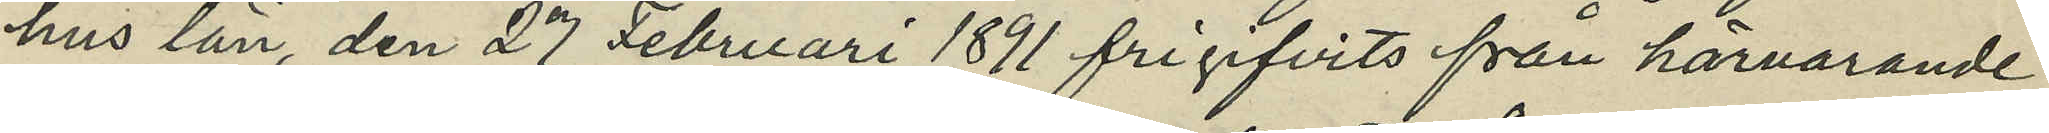hus län, den 27 Februari 1891 frigifvits från härvarande
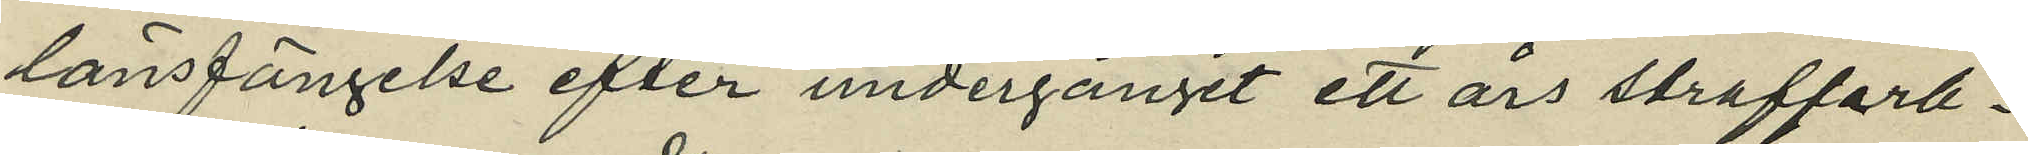länsfängelse efter undergånget ett års straffarb¬
